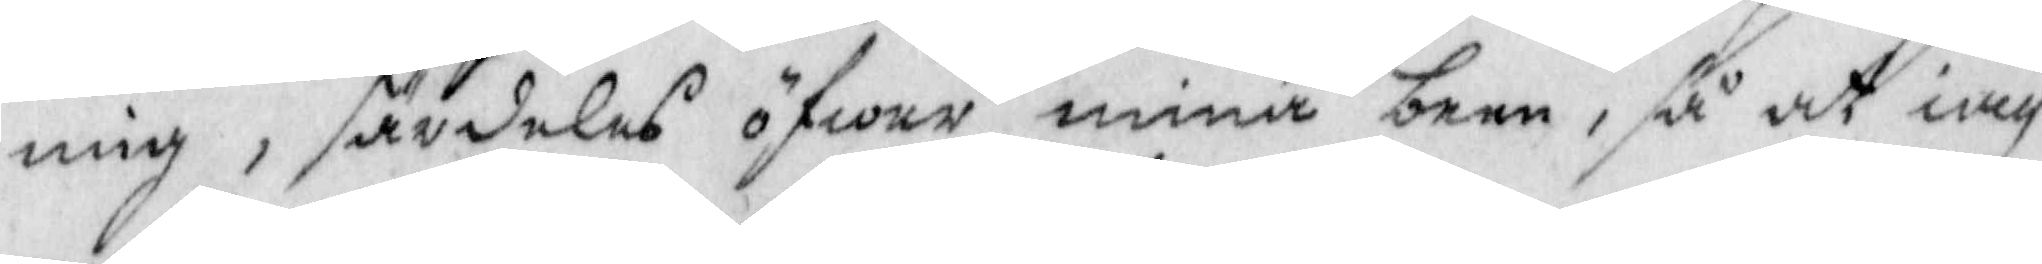mig, särdeles öfwer mina barn, så att iag
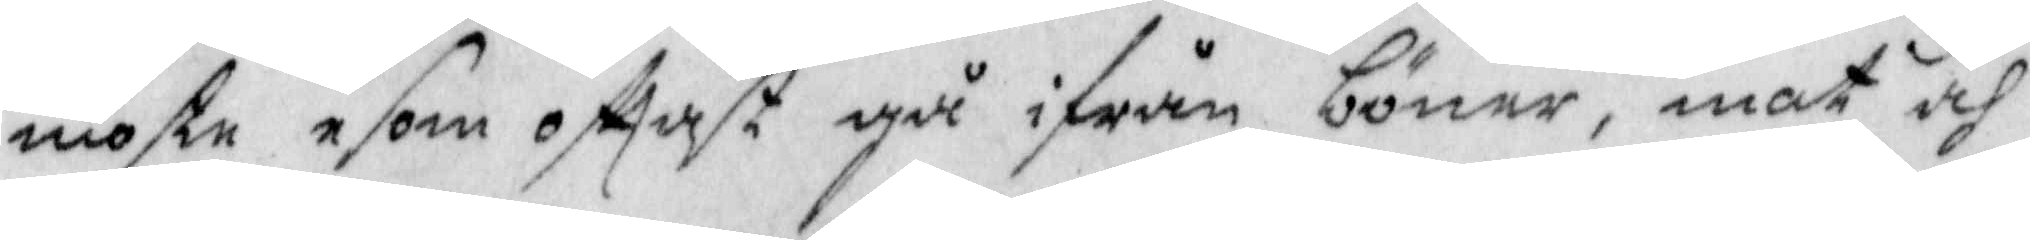moste esom ofttast gå ifrån böner, mat och
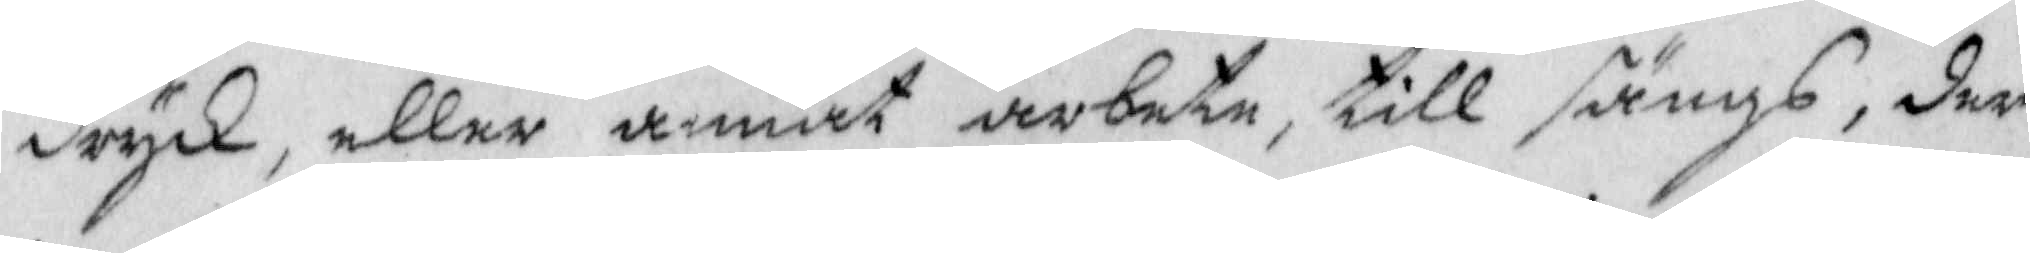dryck, eller annat arbete, till sängs, der
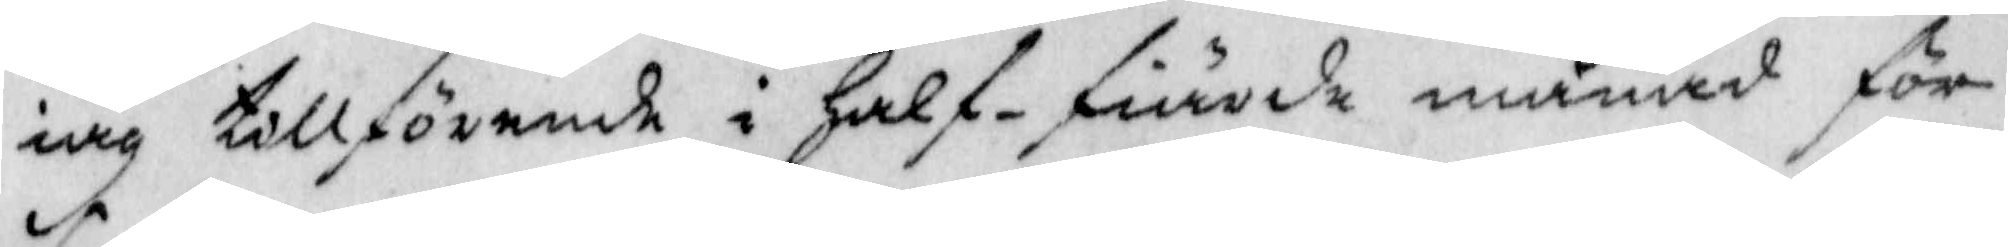iag tillförende i Half-fiärde månad för
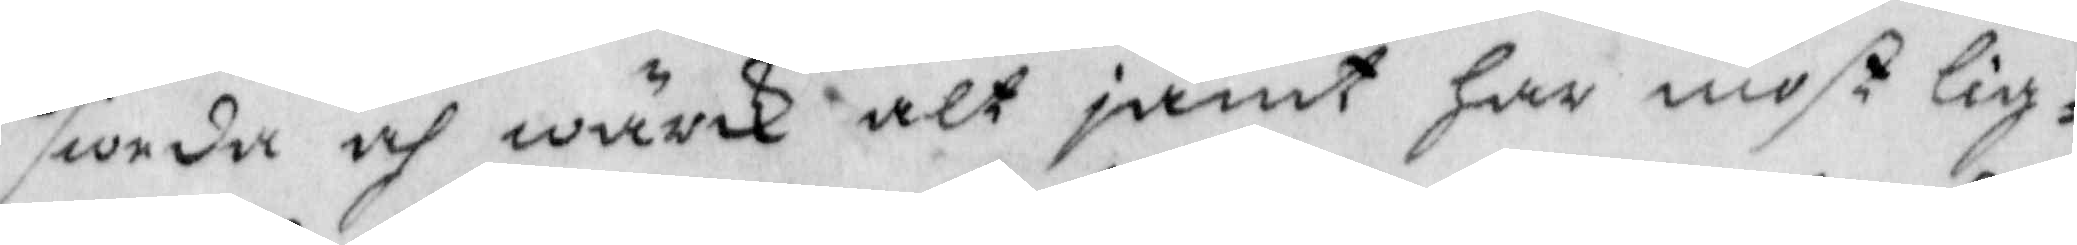sweda och wärk alt jämt Har mist lig¬
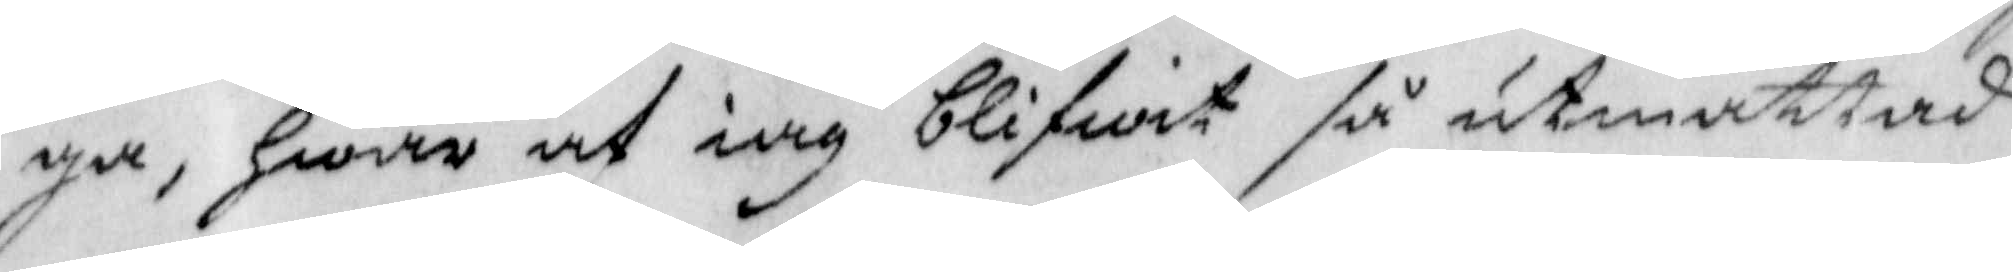ga, Hwar af iag blifwit så utmattad
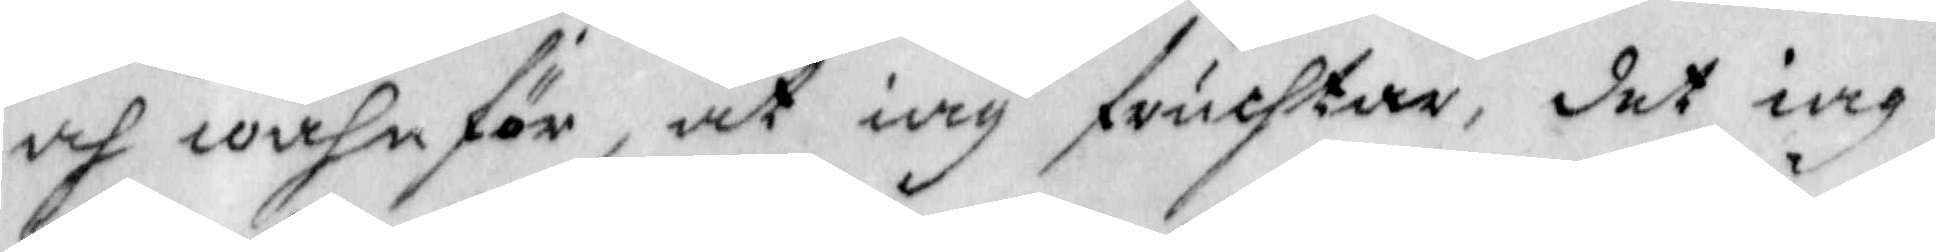och wahnför, at iag fruchtar, det iag
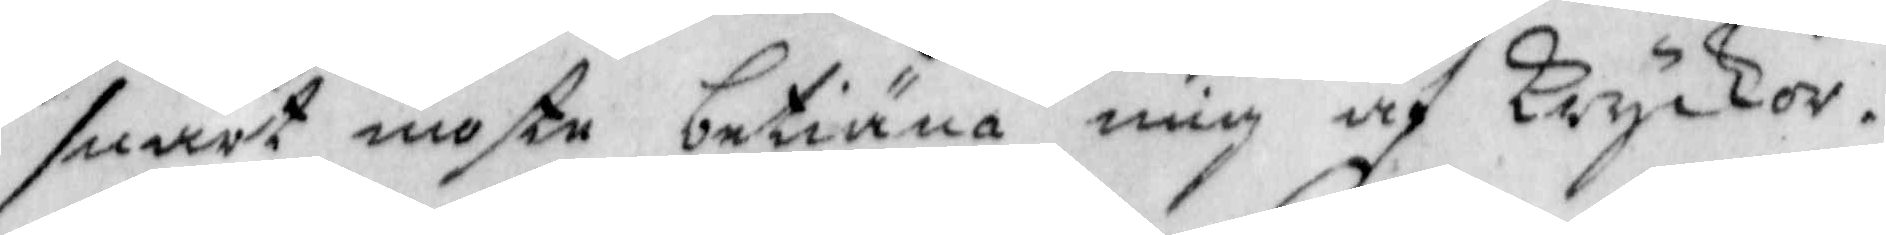snart moste betiäna mig af Kryckor.
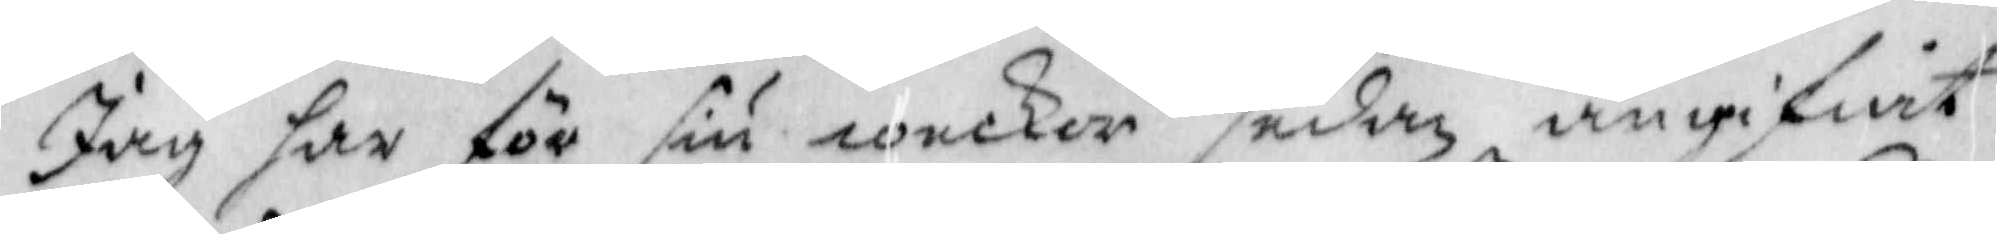Jag har för siu weckor sedan angifwit
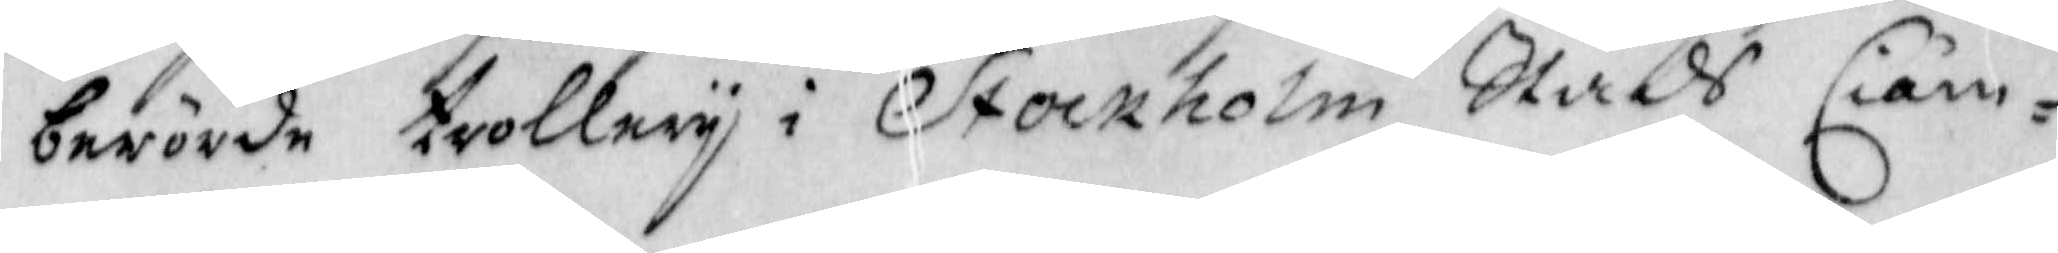berörde trollery i Stockholm Stadh Ciäm¬
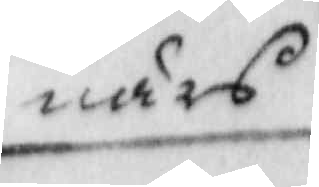närs
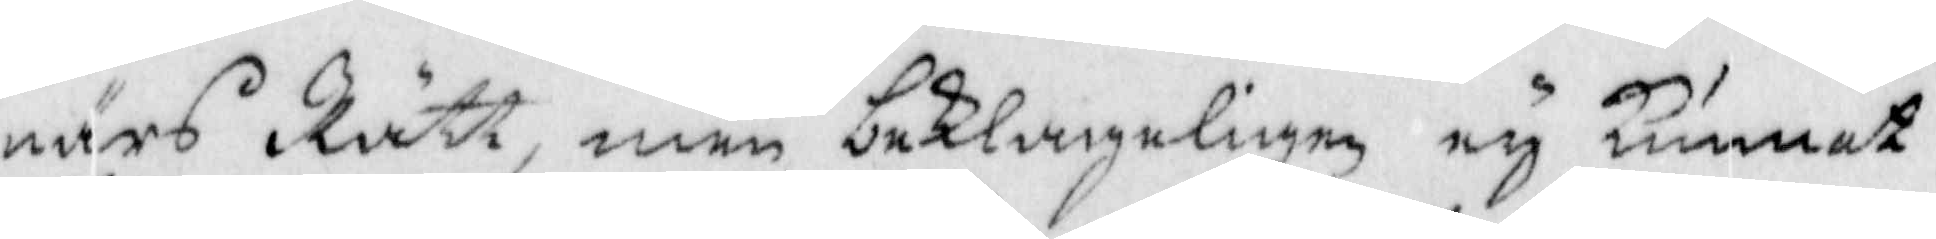närs Rätt, men beklageligen ey Kunnat
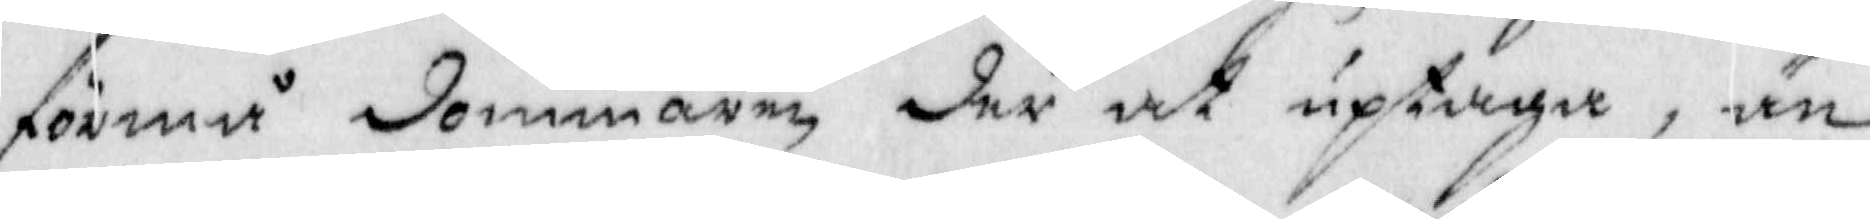förmå dommaren, der at uptaga, än
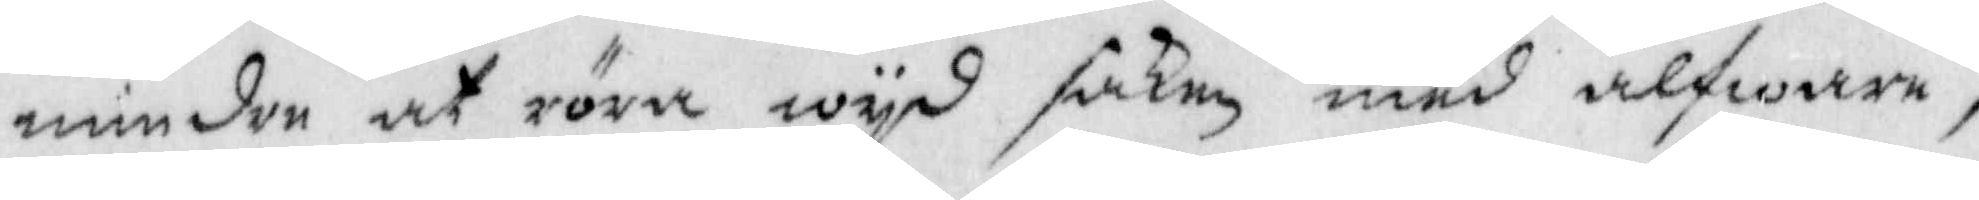mindre at röra wyd saken med alfware,
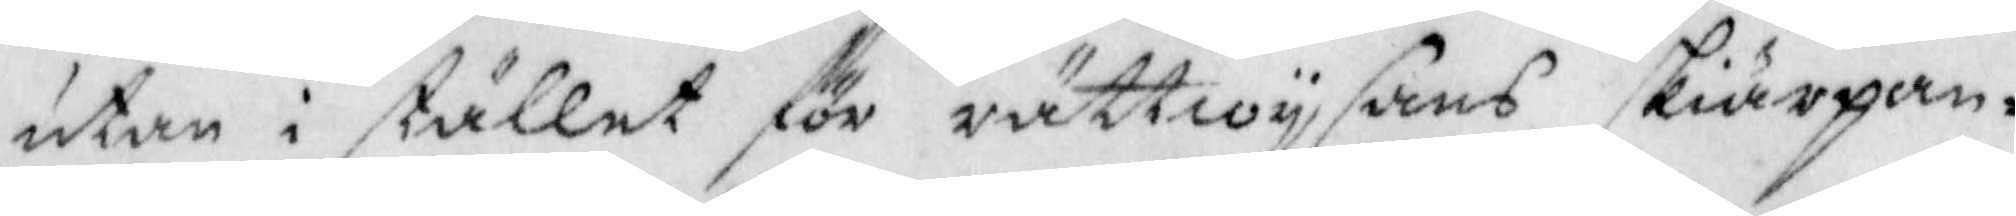utan i stället för rättwysans skiärpan¬
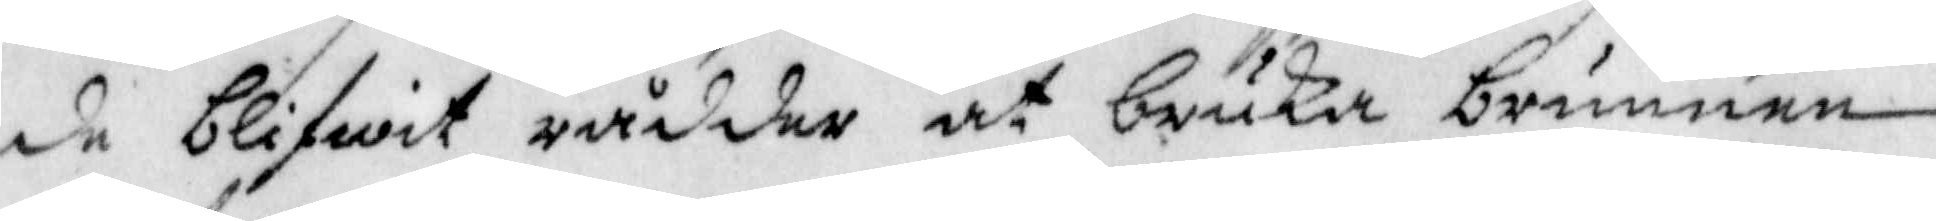de blifwit rådder at bruka brunnen
